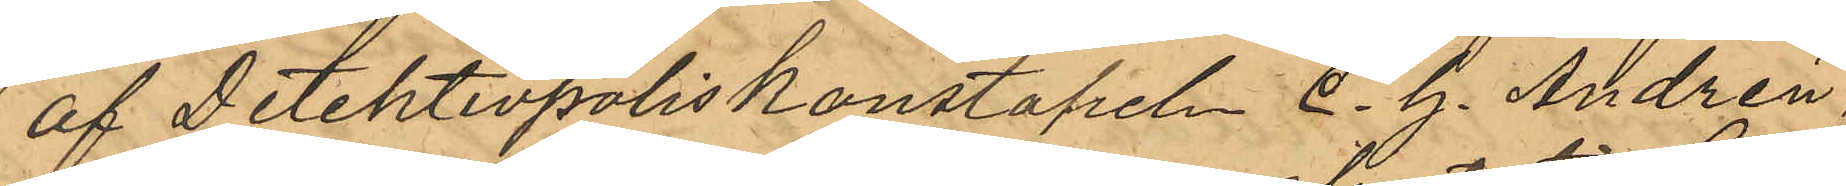af Detektivpoliskonstapeln C. G. Andrén
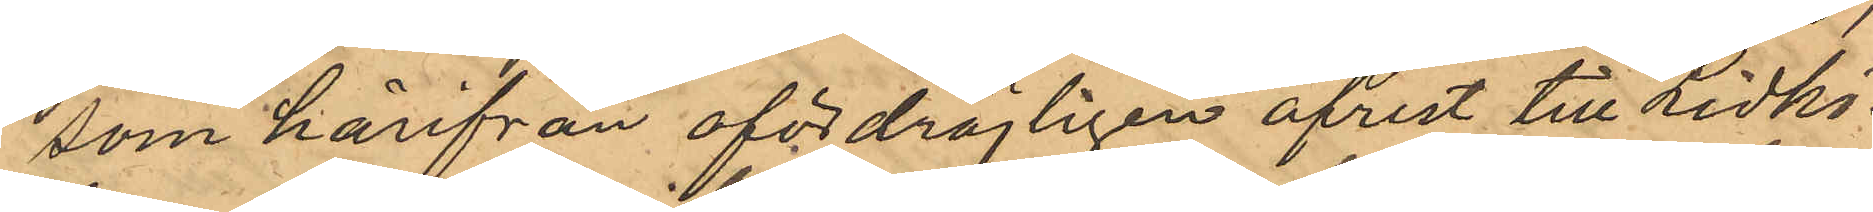som härifrån ofördröjligen afrest till Lidkö¬
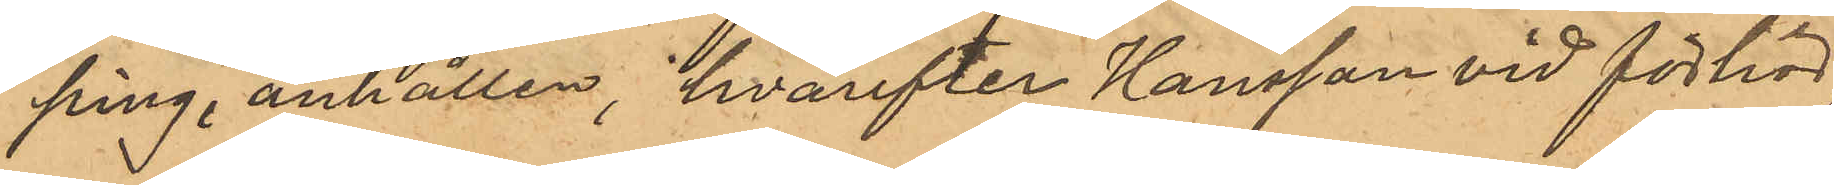ping, anhållen, hvarefter Hansson vid förhör,
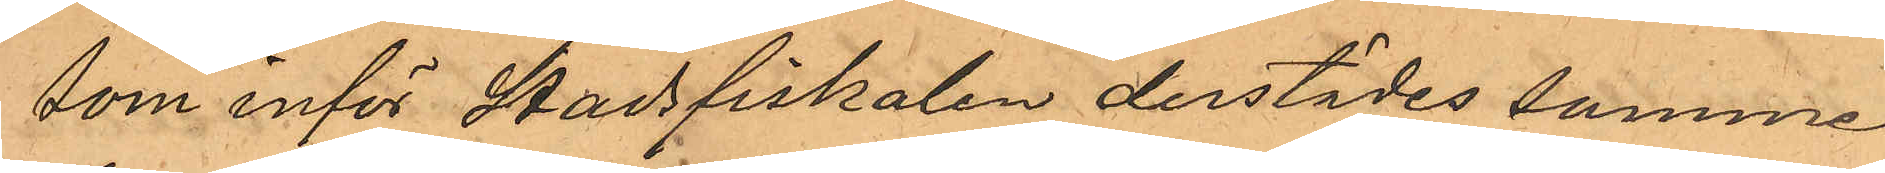som inför Stadsfiskalen derstädes samme
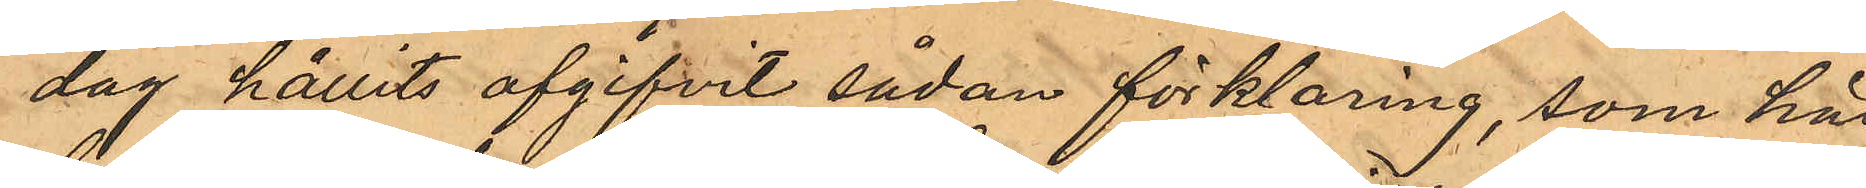dag hållits afgifvit sådan förklaring, som här
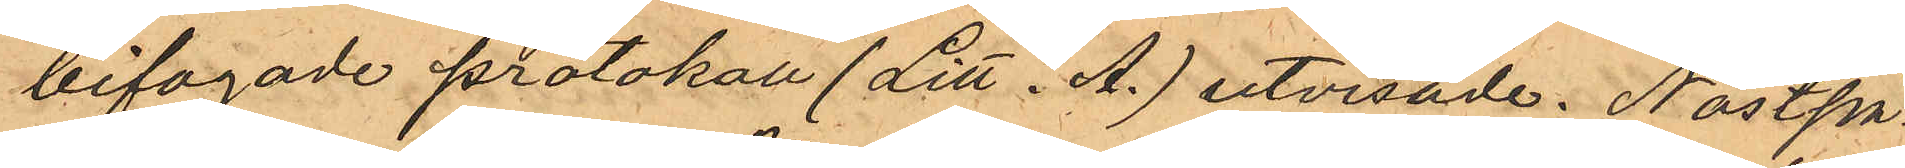bifogade protokoll (Litt. A.) utvisade. Nästpå¬
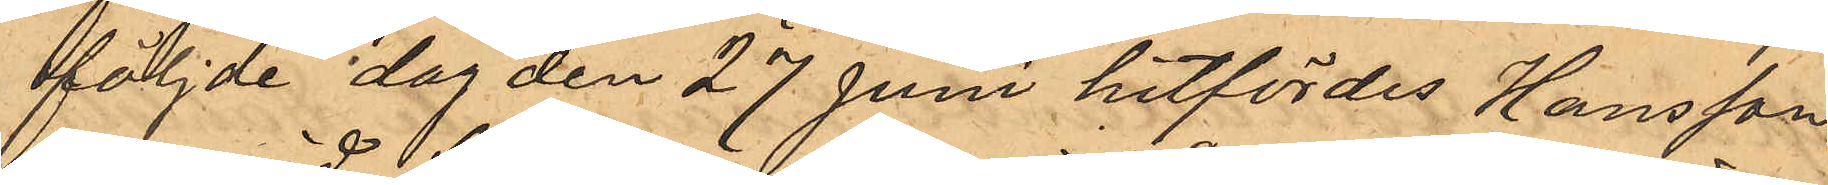följde dag den 27 Juni hitfördes Hansson,
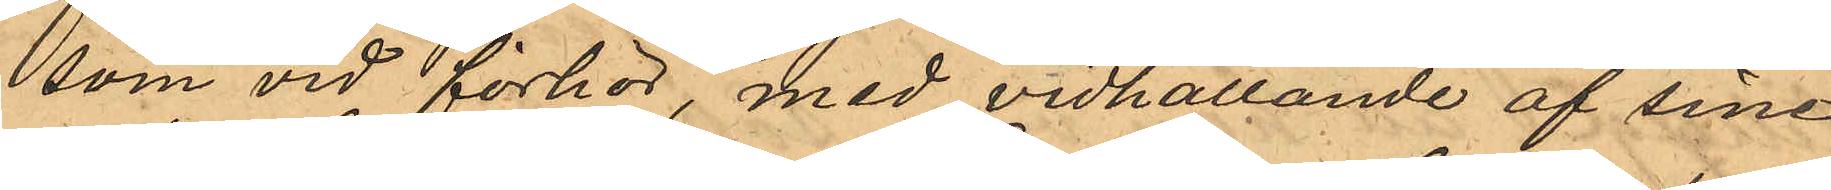som vid förhör med vidhållande af sine
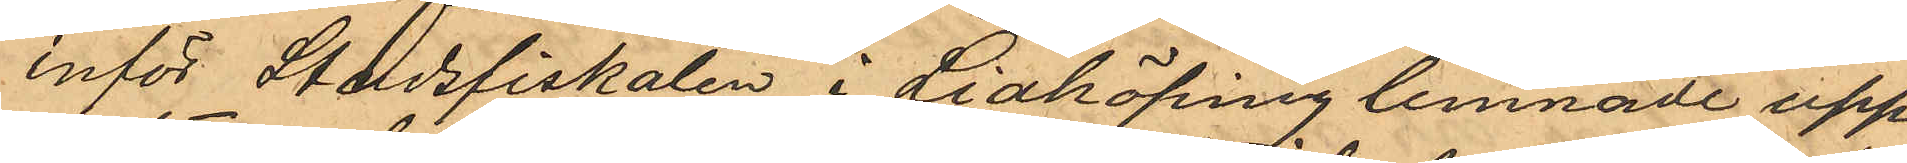inför Stadsfiskalen i Lidköping lemnade upp¬
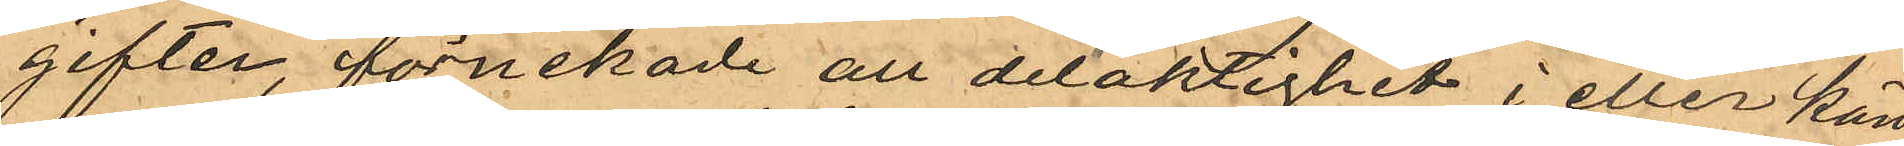gifter, förnekade att delaktighet i eller kän¬
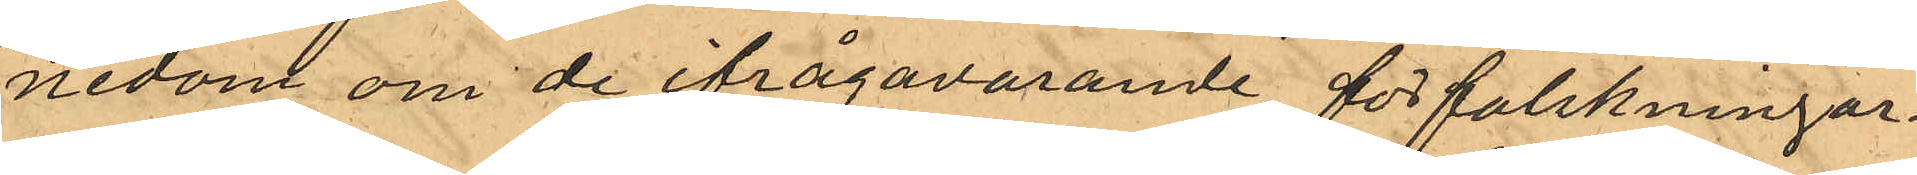nedom om de ifrågavarande förfalskningar¬
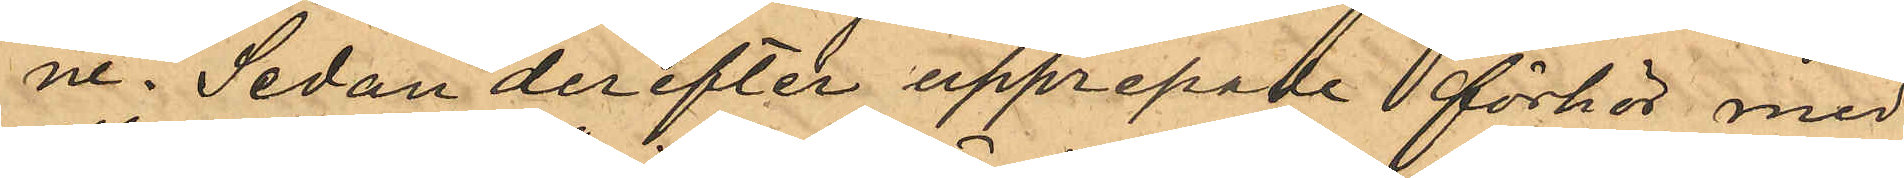ne. Sedan derefter upprepade förhör med
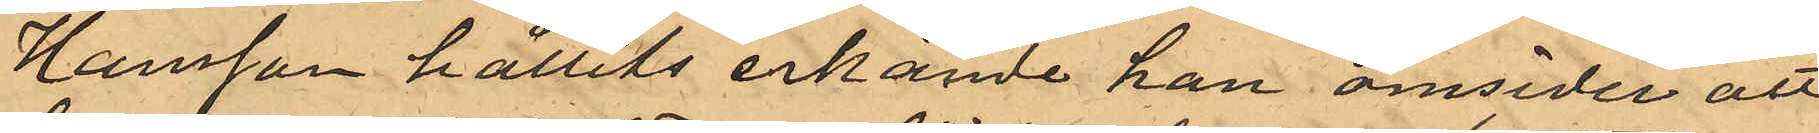Hansson hållits erkände han omsider att
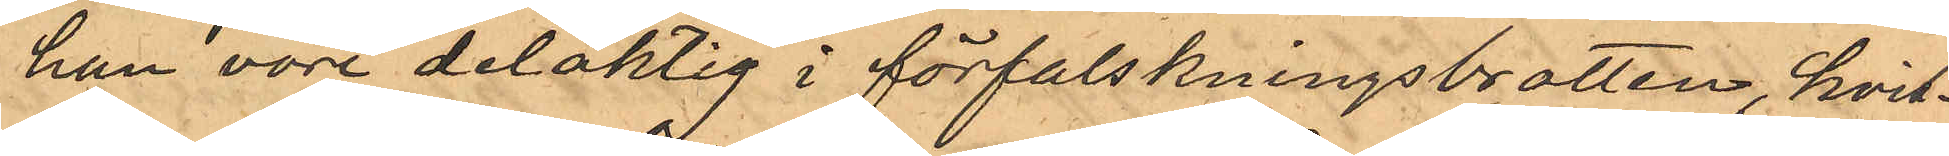han vore delaktig i förfalskningsbrotten, hvil¬
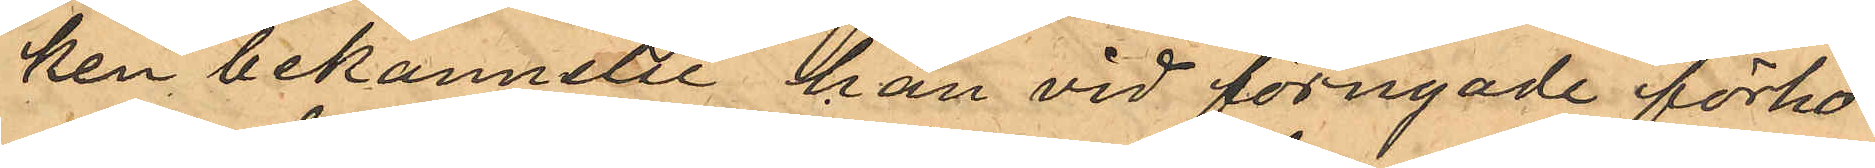ken bekannelse han vid förnyade förhör
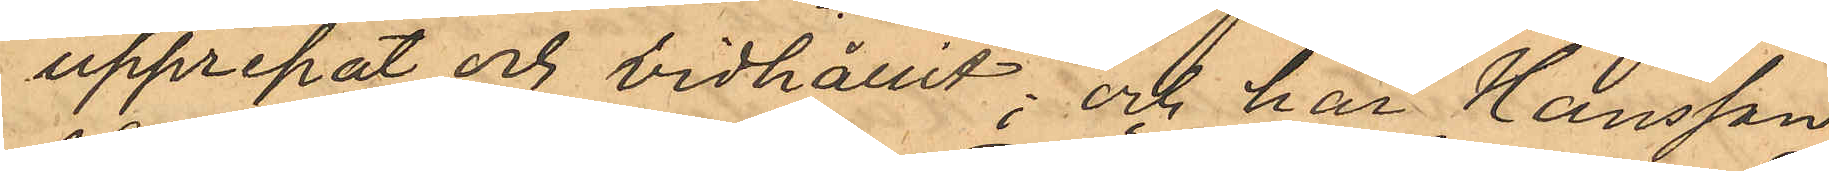upprepat och vidhållit; och har Hansson
